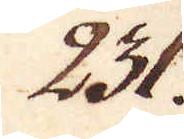231.
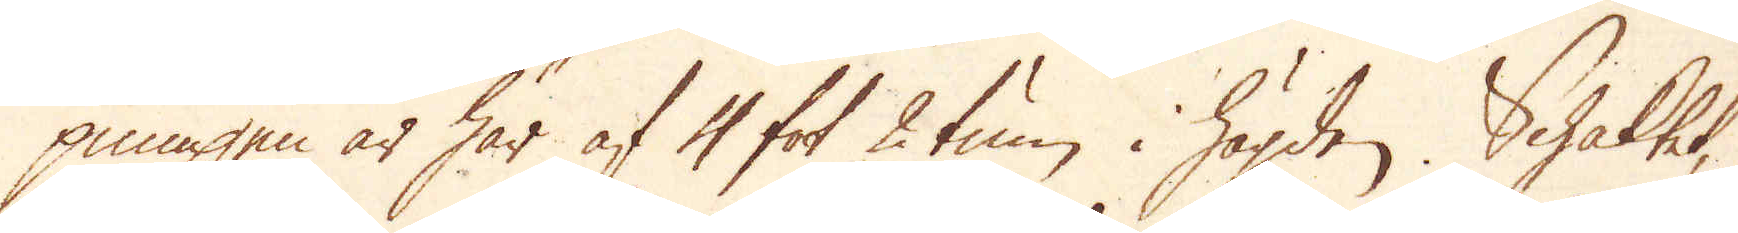pumpen är här af 4 fot 2 tum i högden. Schaktet,
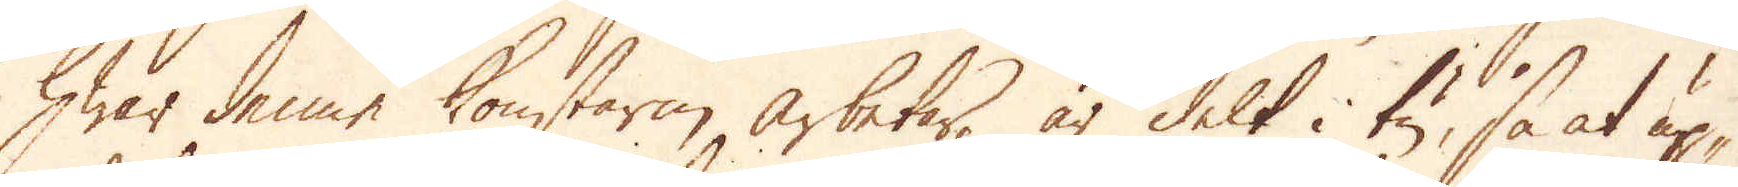hwar denne konstarm arbetar, är delt i tu, så at up-
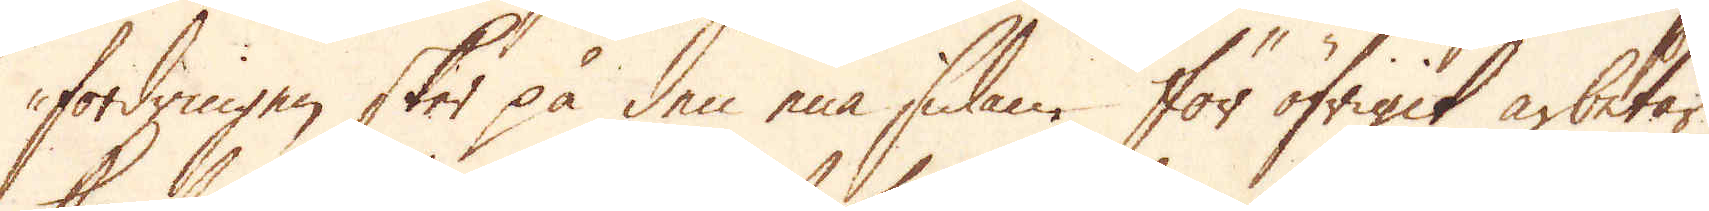fordringen sker på den ena sidan. För öfrigit arbetar,
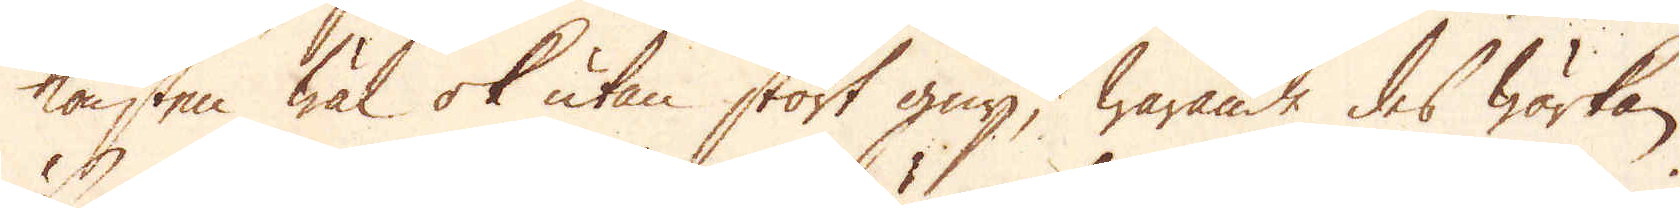konsten wäl ok utan stort gny, warande des wärkan
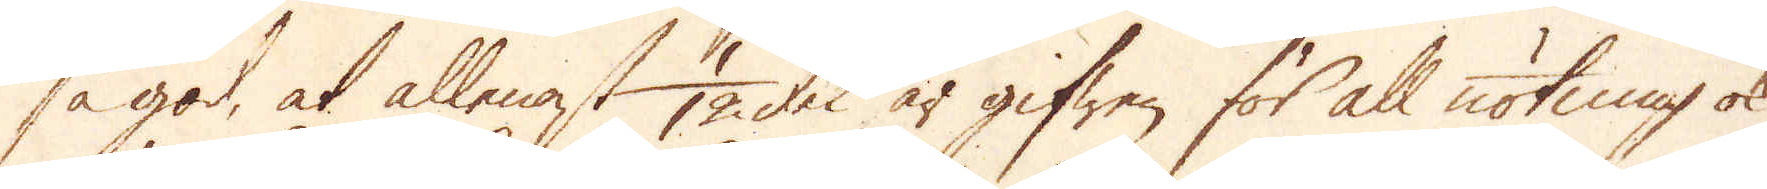så god, at allenast 1/12 del är gifwen för all nötning ok
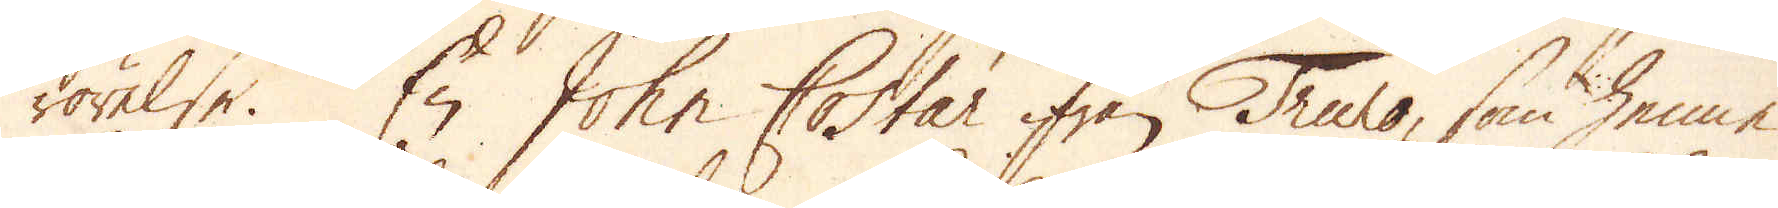rörelse. En John Costar ifrån Truro, som henne
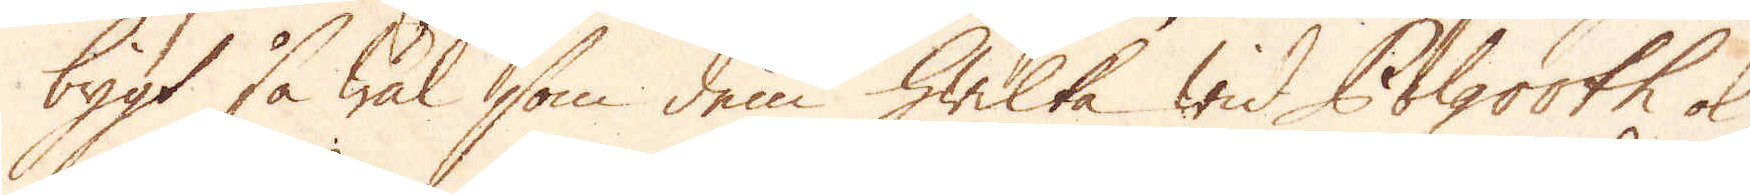bygt så wäl som dem hwilka wid Polgooth ok
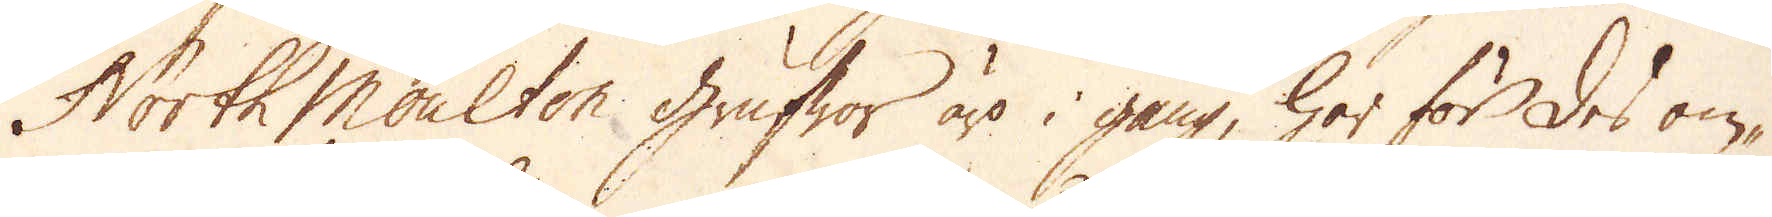North Moulton grufwor äro i gång, har för des om-
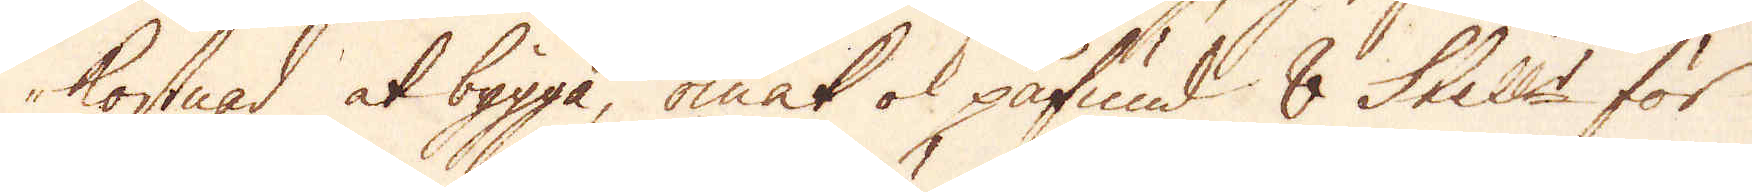kostnad at bygga, omak ok påfund 8 Skill:r för
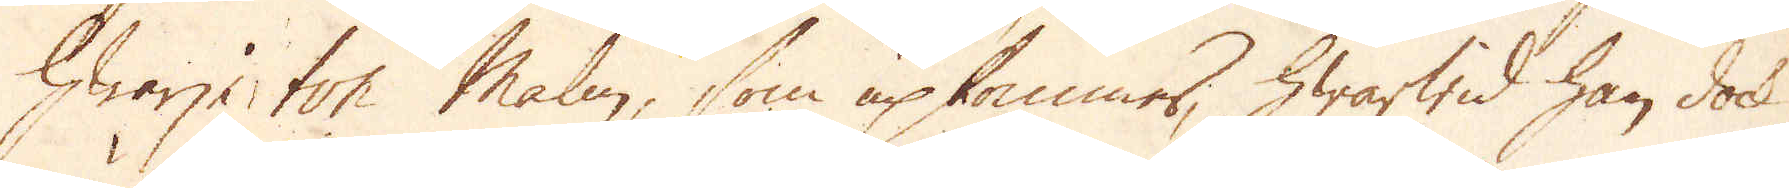hwarje ton malm, som upkommer, hwarwid han dock
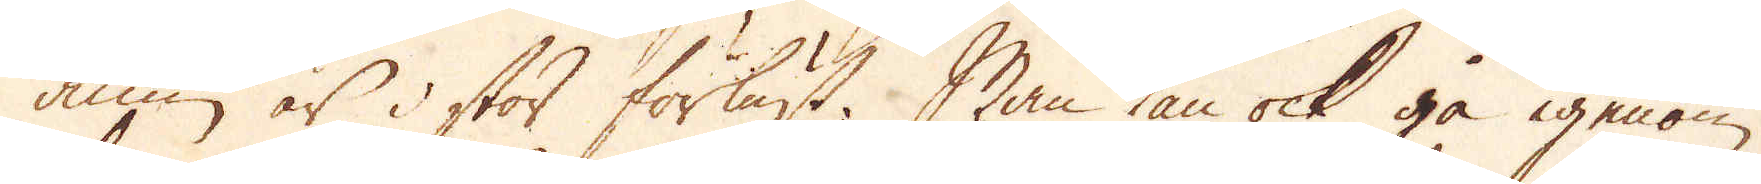ännu är i stor förlust. Man kan ock gå igenom
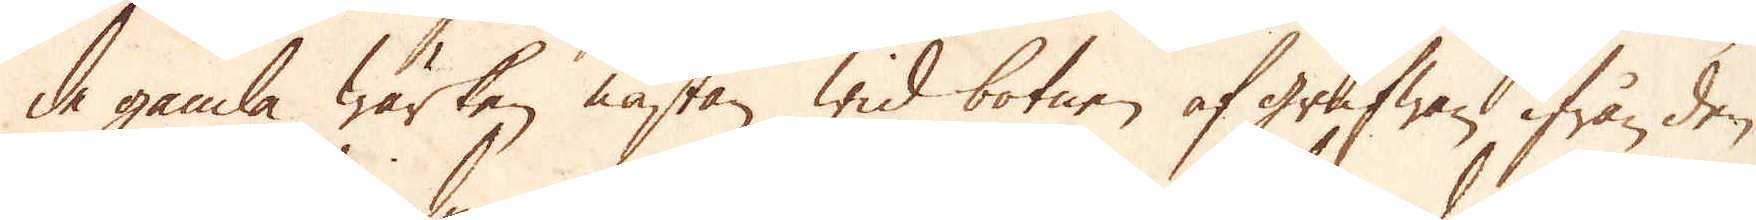de gamla Wärken nästan wid botnen af grufwan ifrån den
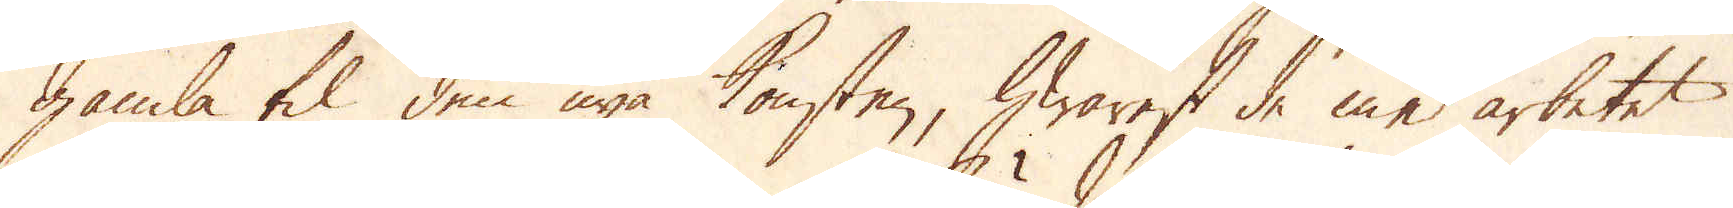gamla til den nya konsten, hwarest de med arbetet
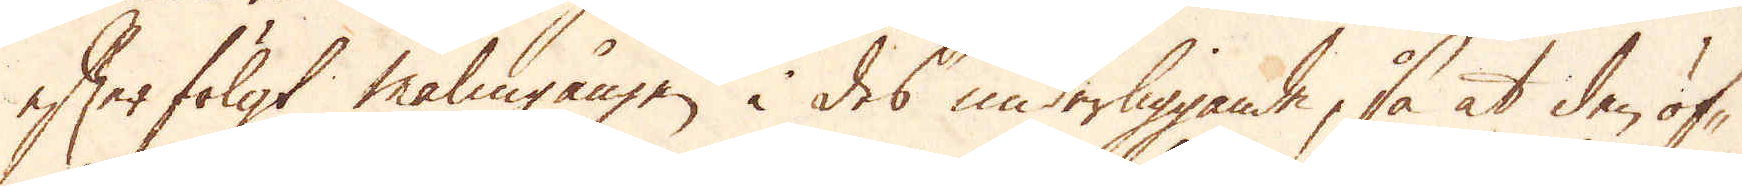efterfölgt malmgången i des underliggande, så at den öf-
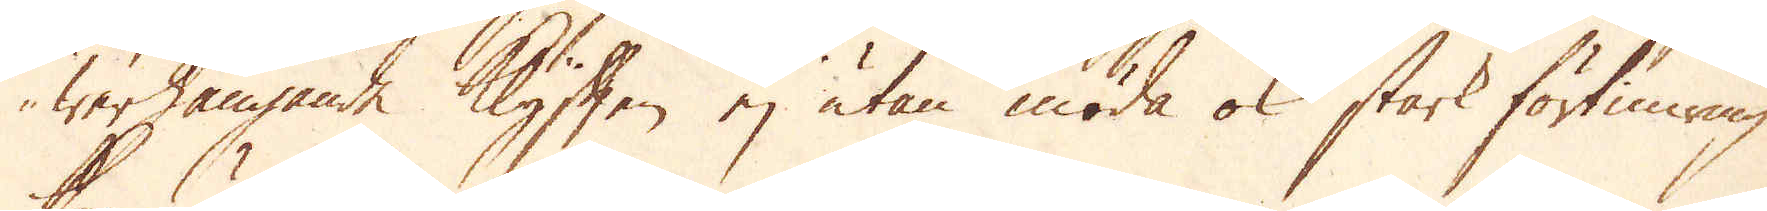werhängande Klyften ej utan möda ok stark förtimring
